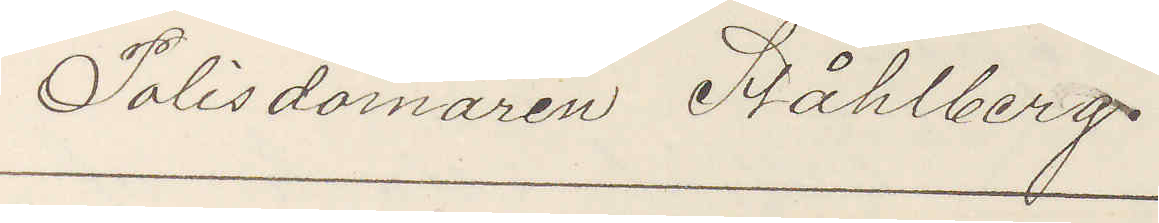Polisdomaren Ståhlberg.
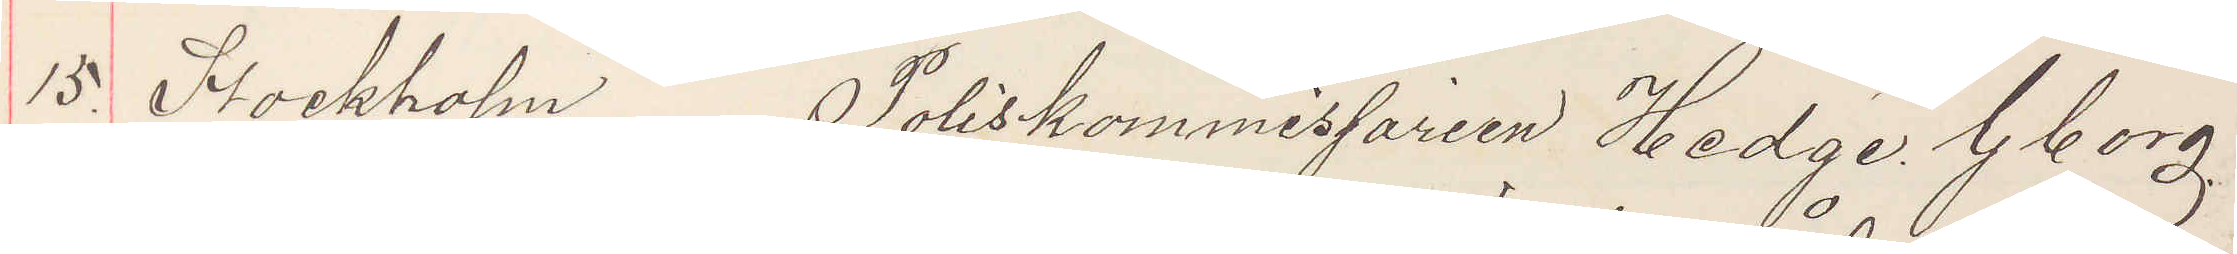15 Stockholm Poliskommissarien Hedge. Gborg
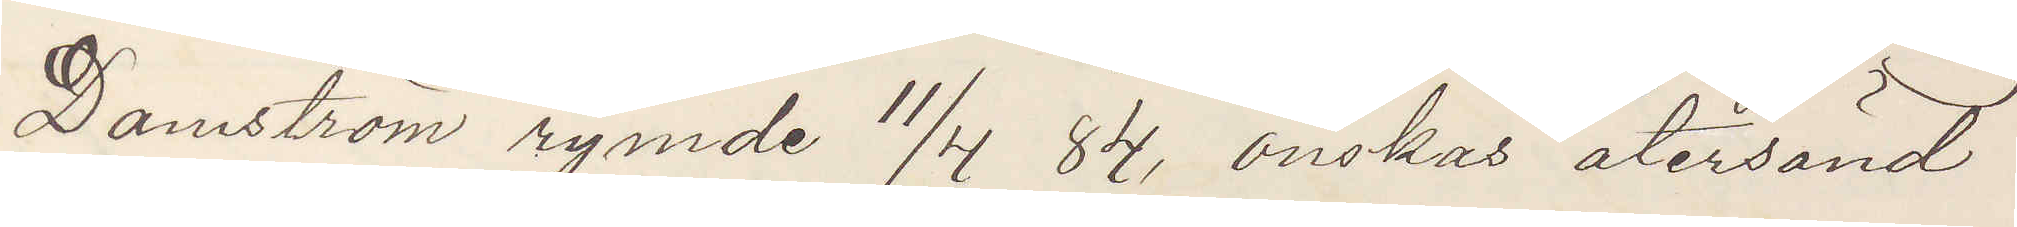Damström rymde 11/4 84, önskas återsänd
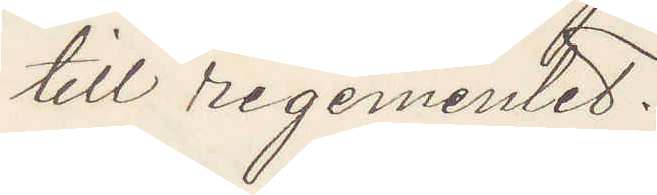till regementet.
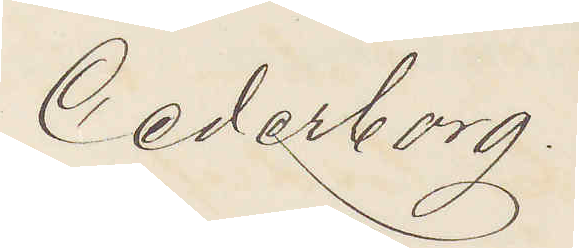Cederborg.
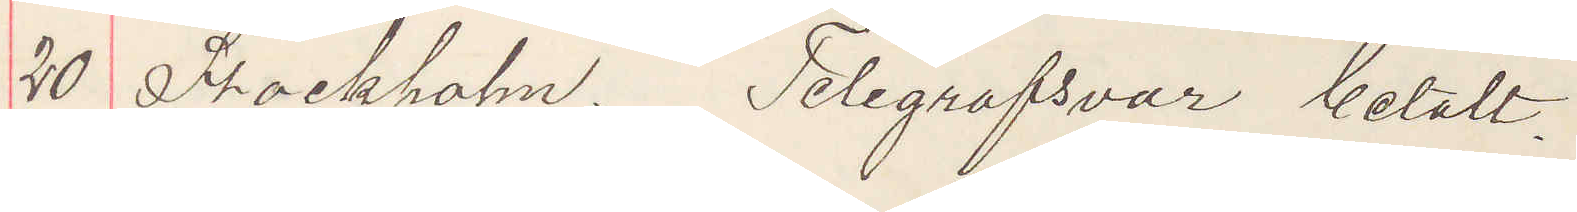20 Stockholm. Telegrafsvar betalt.
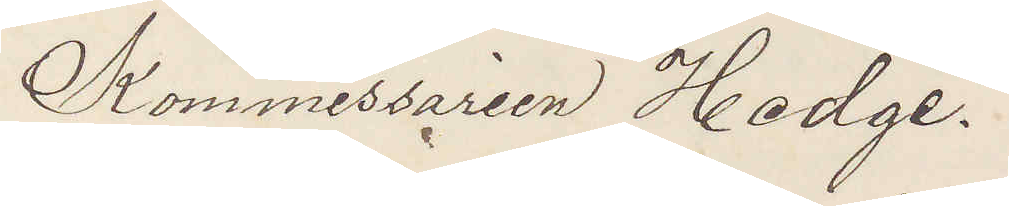Kommissarien Hedge.
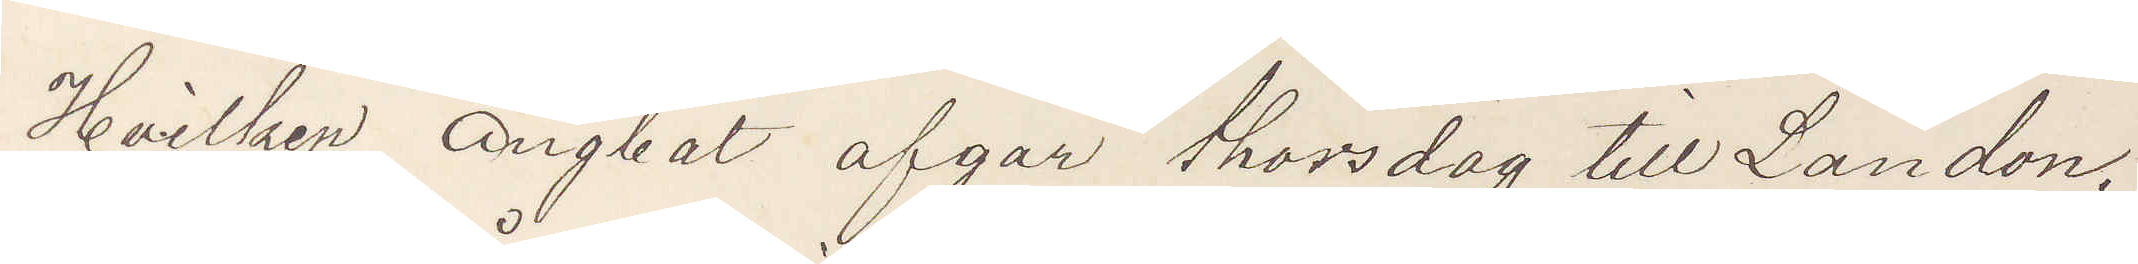Hvilken ångbat afgår thorsdag till London,
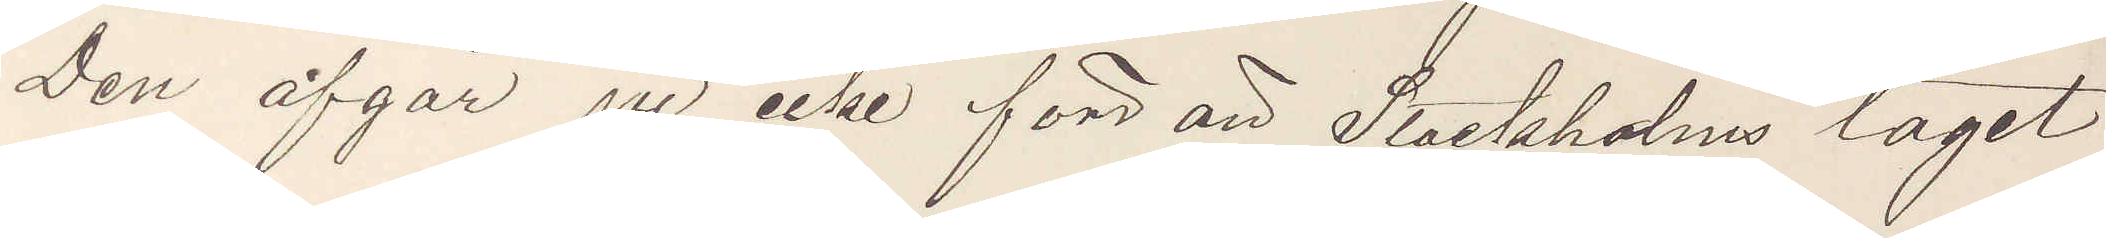Den afgår ju icke förrrän att Stockholms tåget
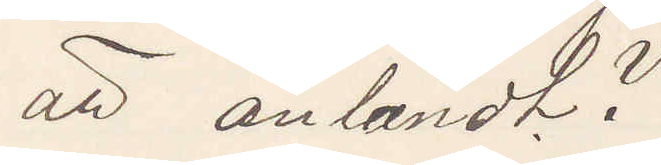är anländt?
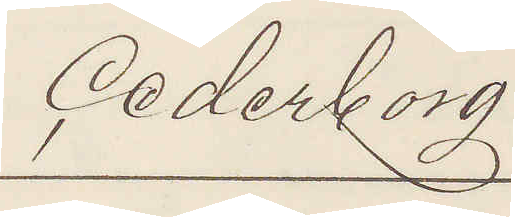Cederborg
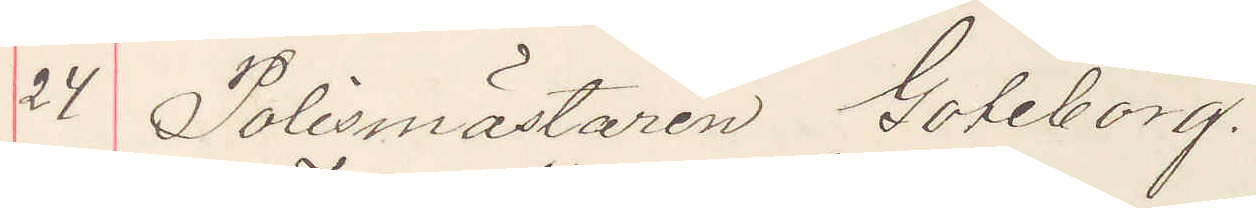24 Polismästaren Göteborg.
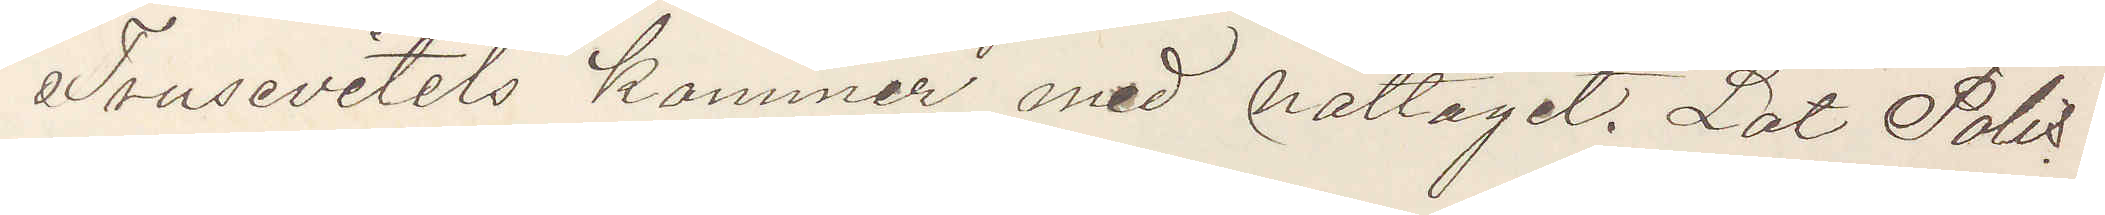Trusevitels kommer med nattåget. Låt Polis
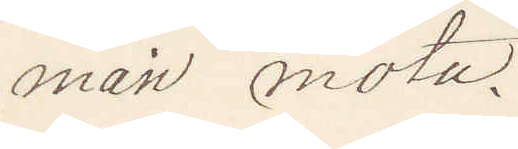man möta.
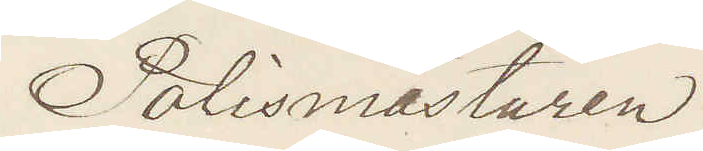Polismästaren
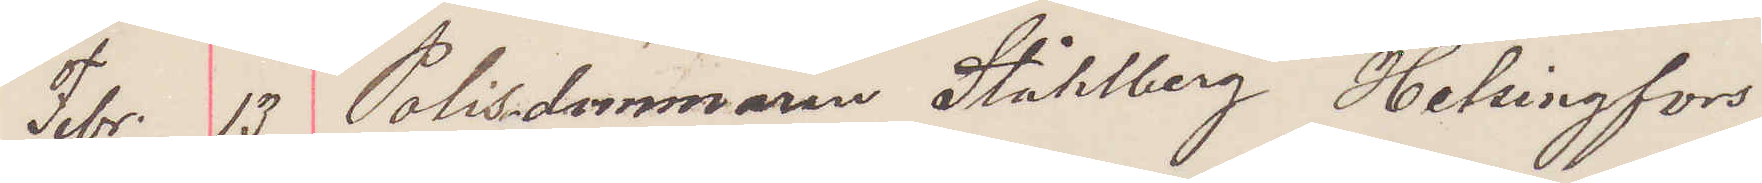Febr. 13 Polisdommaren Ståhlberg, Helsingfors
